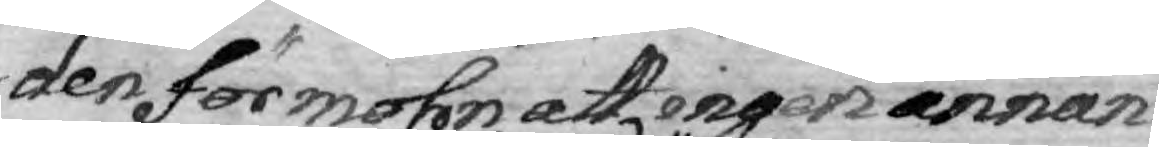den förmohn att ingen annan
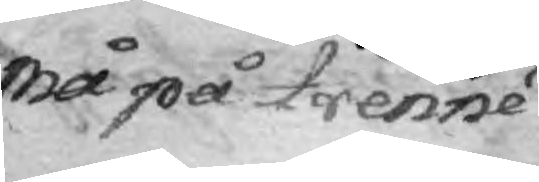må på trenne
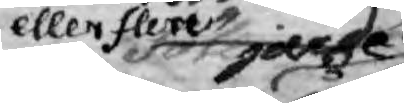eller flere år
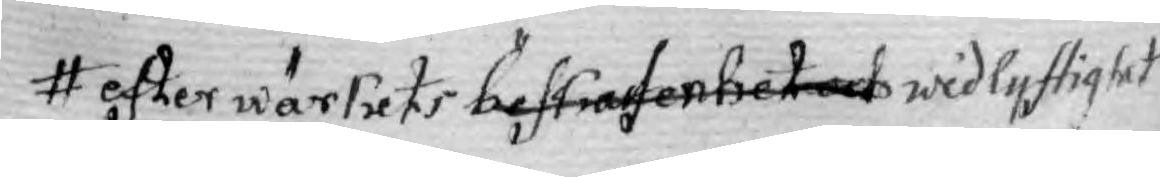efter wärkets beskafenhet och widlyftighet
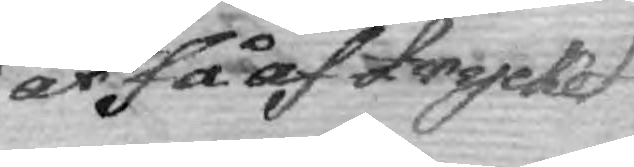få af trycket
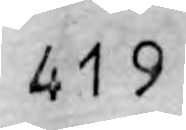419
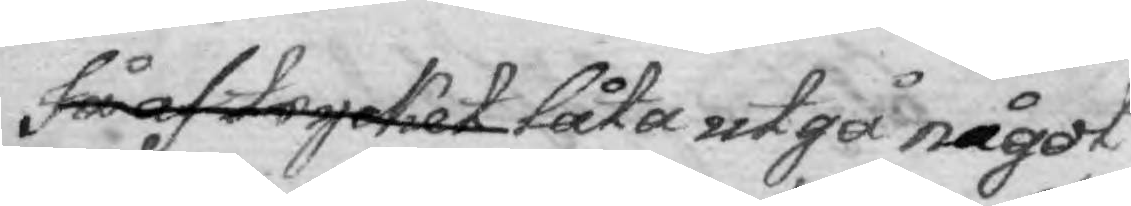få af trycket låta utgå något
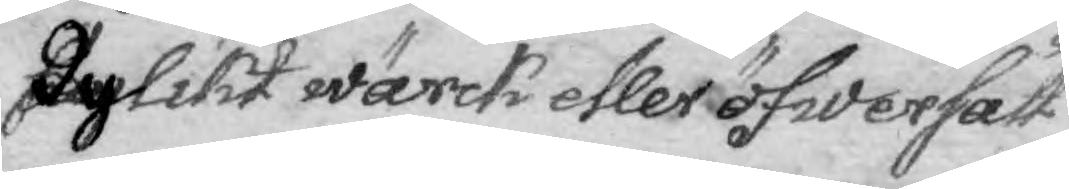dylikt wärck eller öfwersätt¬
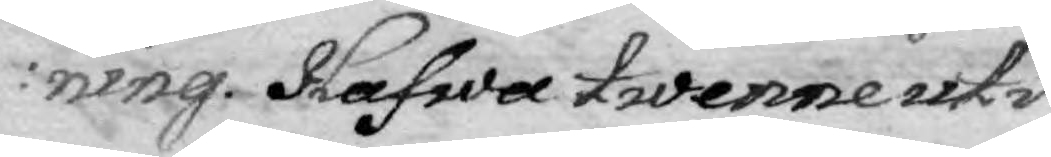ining. Hafwa twenne uti
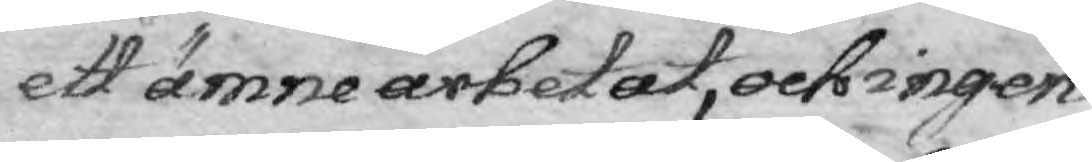ett ämne arbetat, och ingen
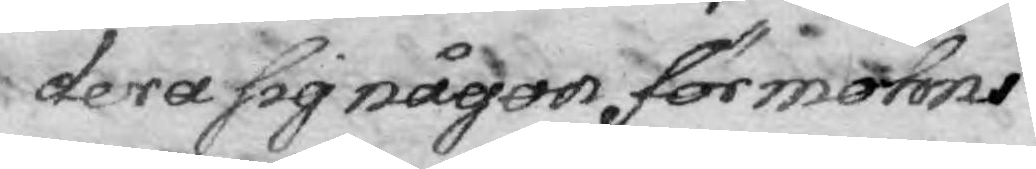dera sig någon förmohns
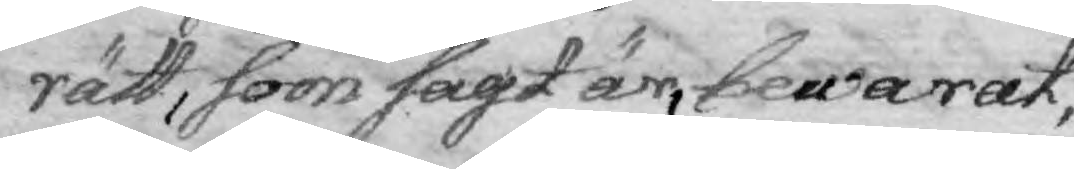rätt, som sagt är, bewarat,
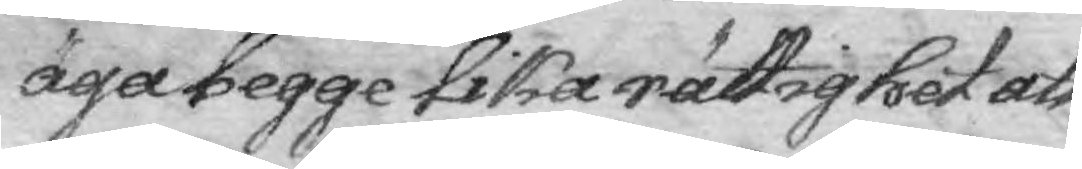äga begge lika rättighet att
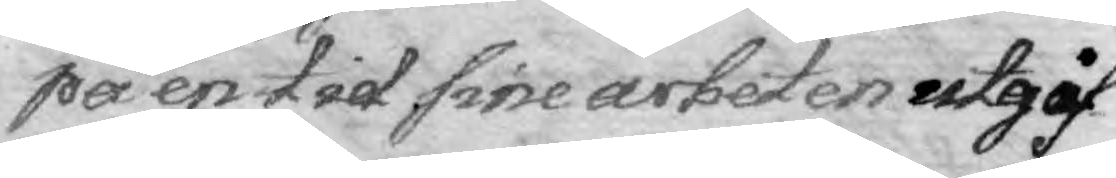på en tid sine arbeten utgif¬
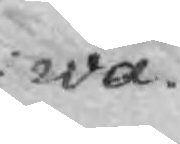wa.
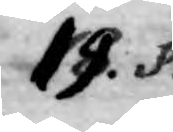19. §.
